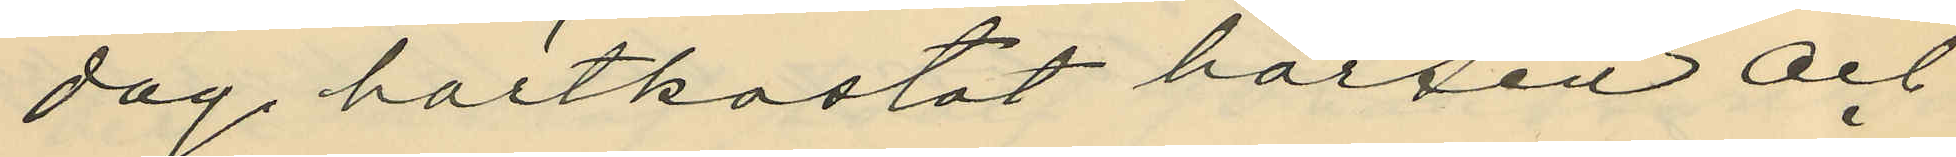dag, bortkastat börsen och
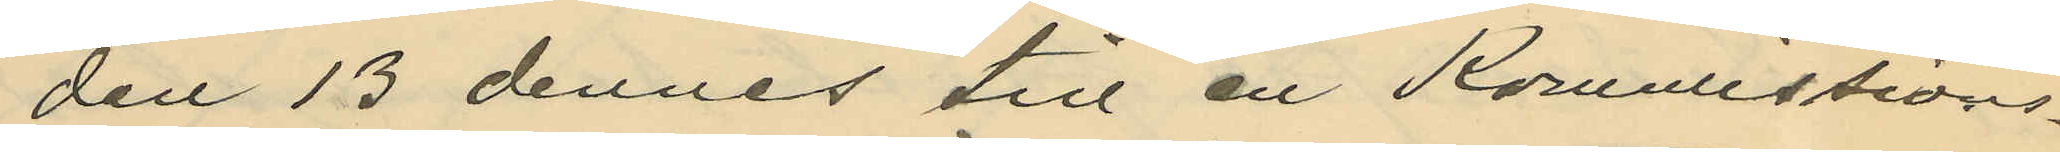den 13 dennes till en Komissions¬
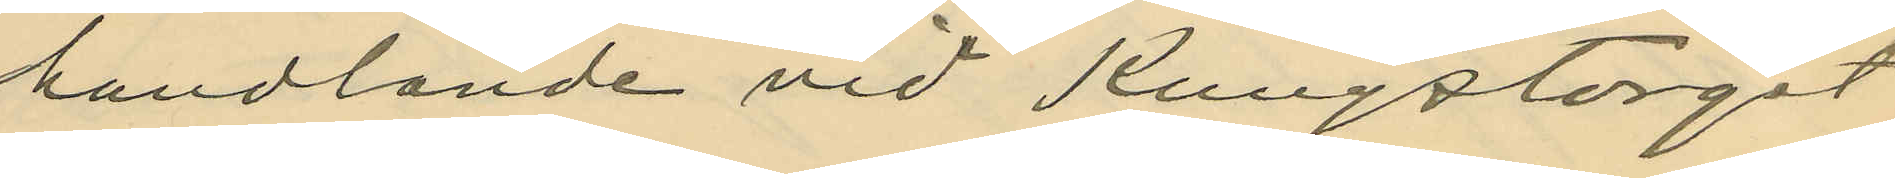handlande vid Kungstorget
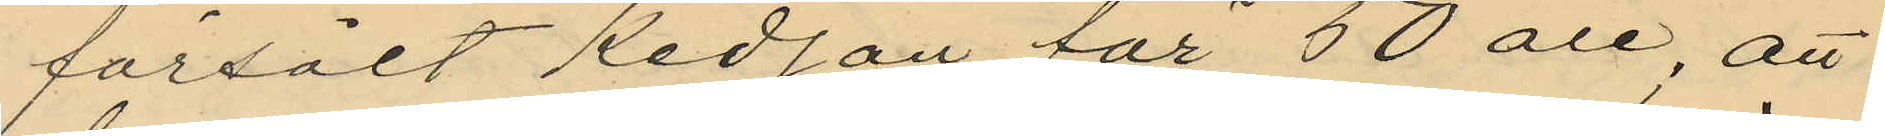försålt kedjan för 50 öre; att
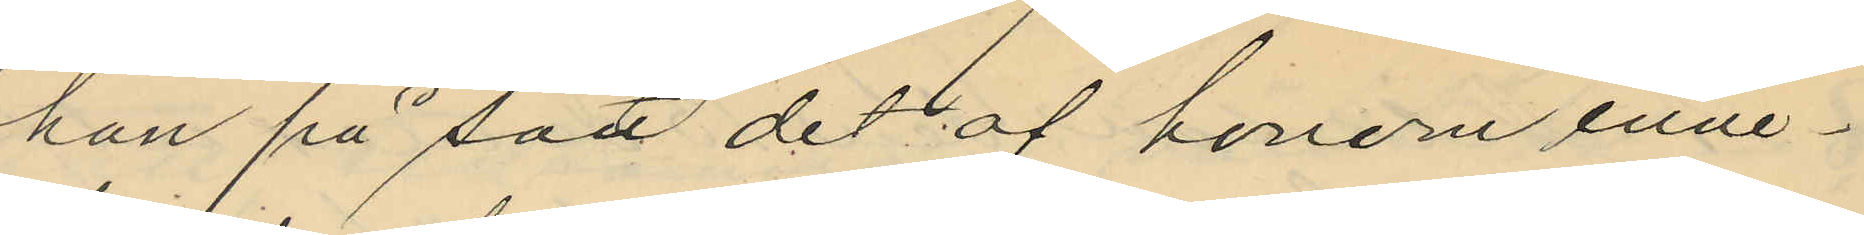han på sätt det af honom inne¬
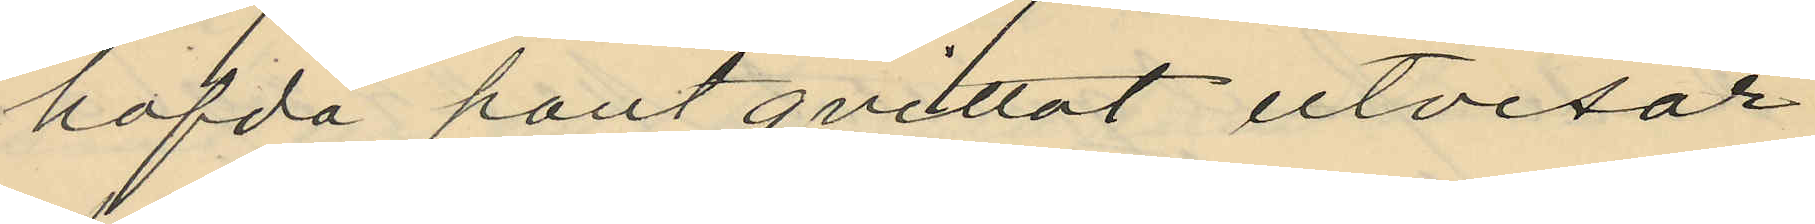hafda pantqvittot utvisar
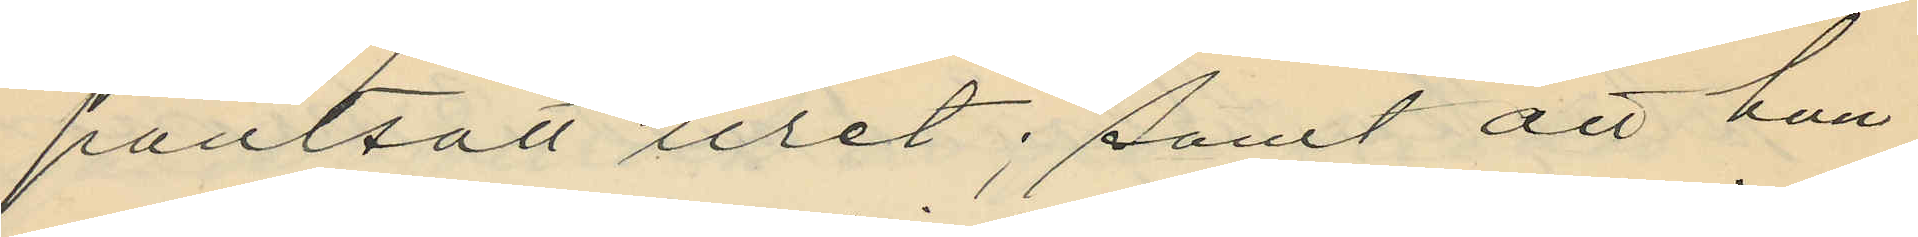pantsatt uret; samt att han
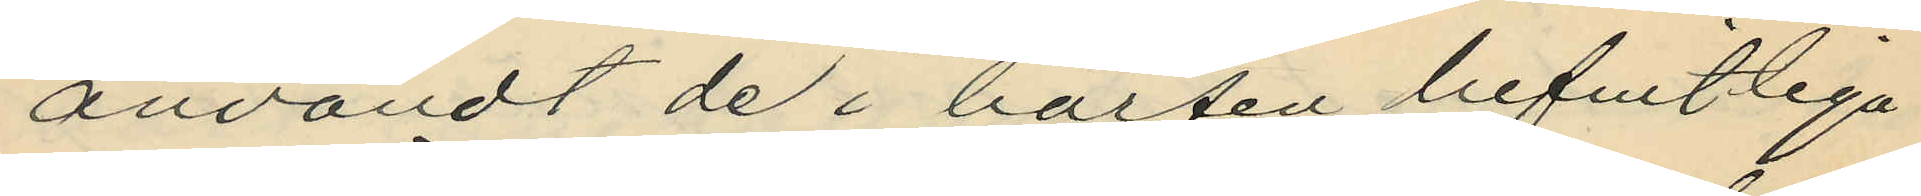användt de i börsen befintliga
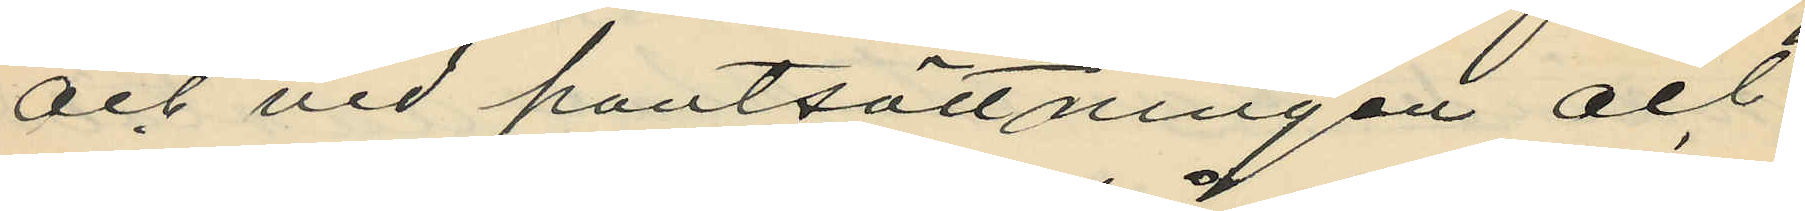och vid pantsättningen och
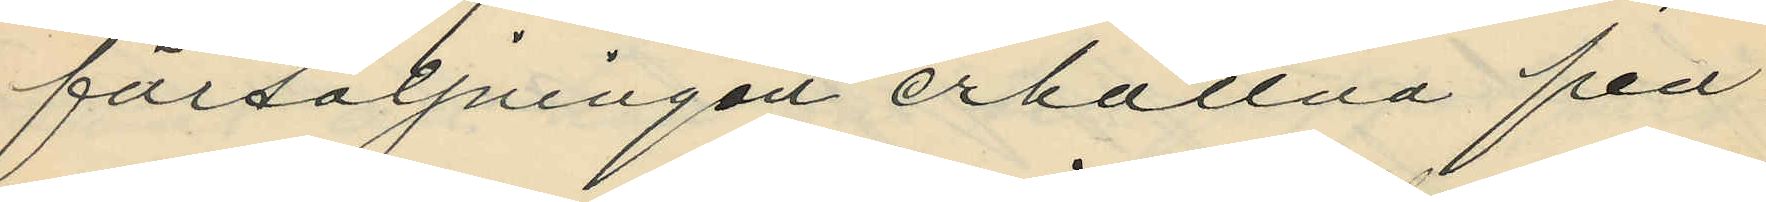försäljningen erhållna pen¬
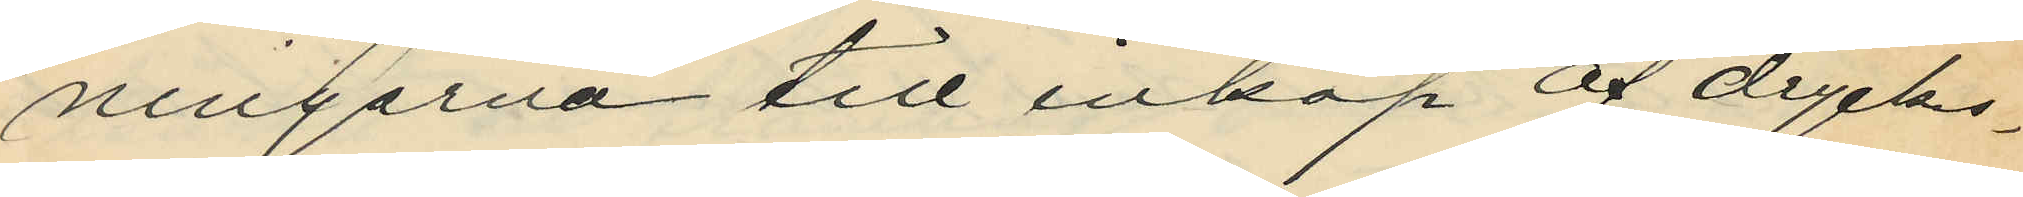ningarna till inköp af dryckes¬
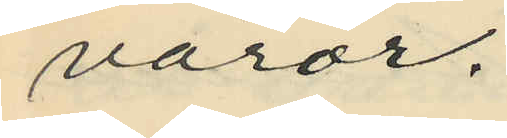varor.
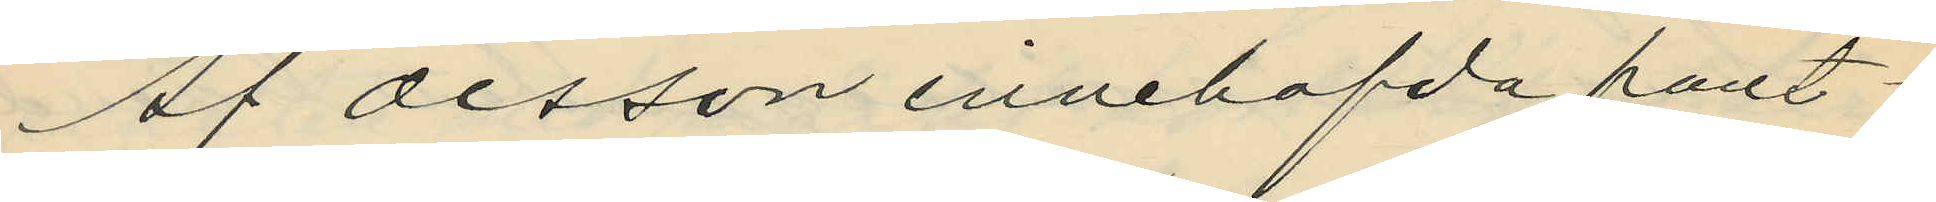Af Olsson innehafda pant¬
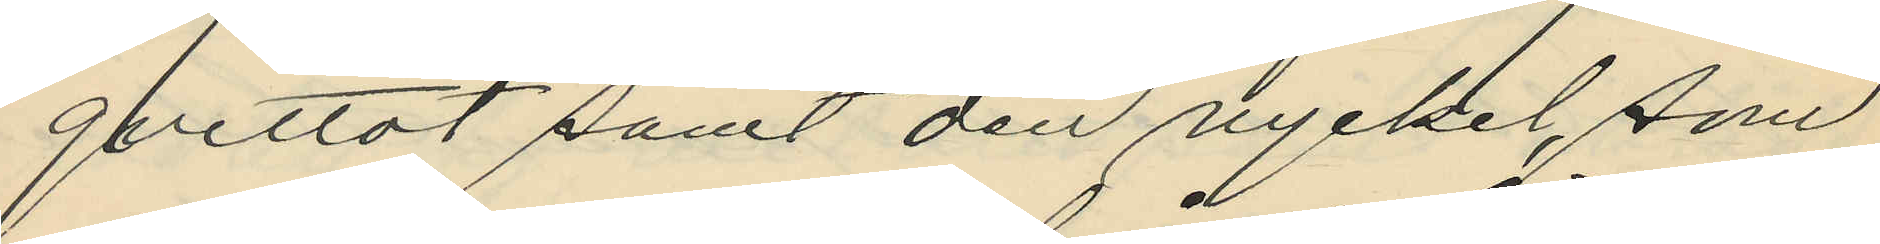qvittot samt den nyckel, som
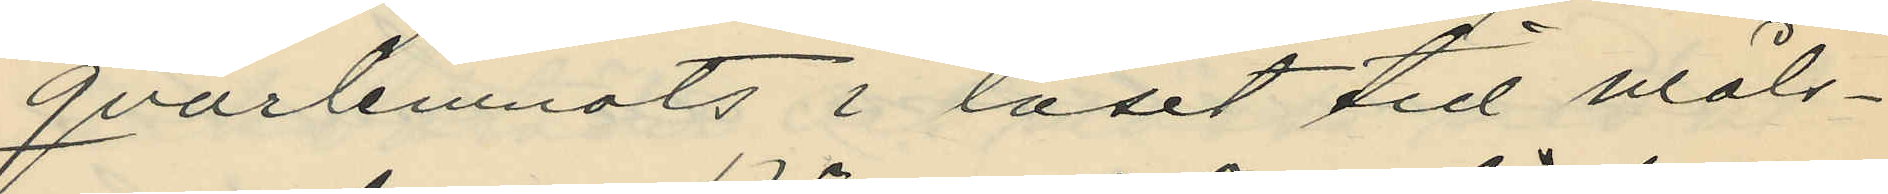qvarlemnats i låset till måls¬
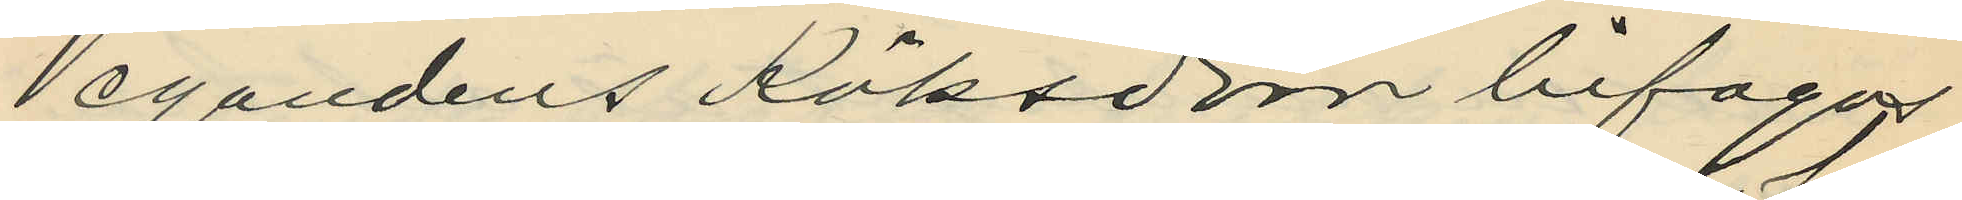egandens Köksdörr bifogas.
